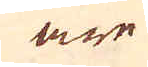äre
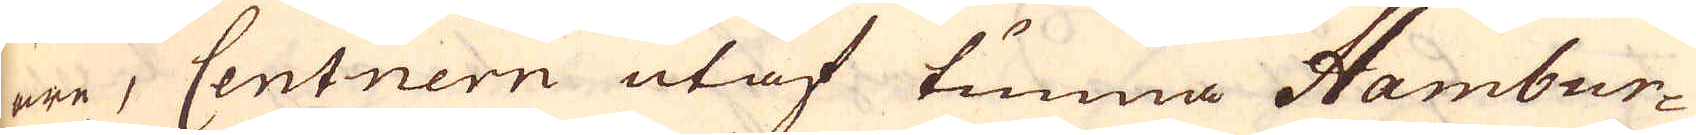äre, Centnern utaf tunna Hambur-
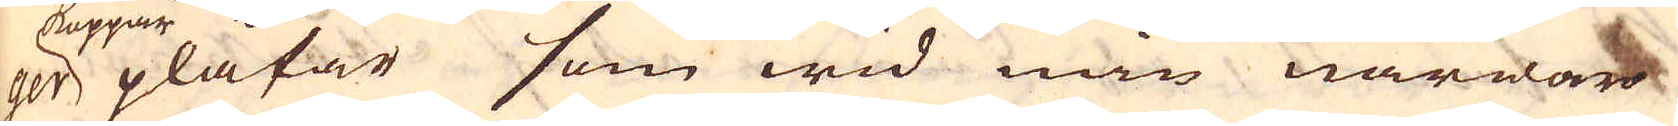per koppar plåtar som wid min närwaro
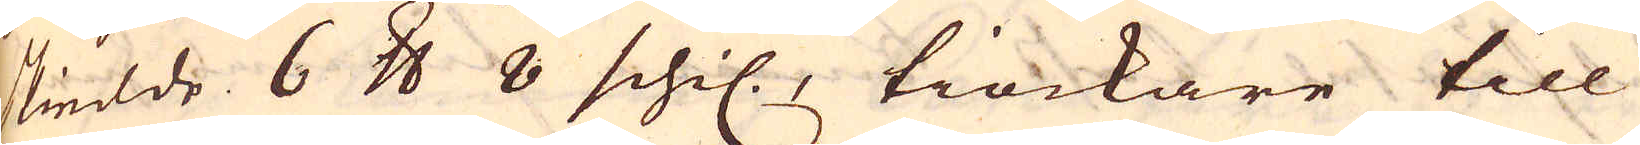skiedde 6 skålpund 8 schil., tiockare till
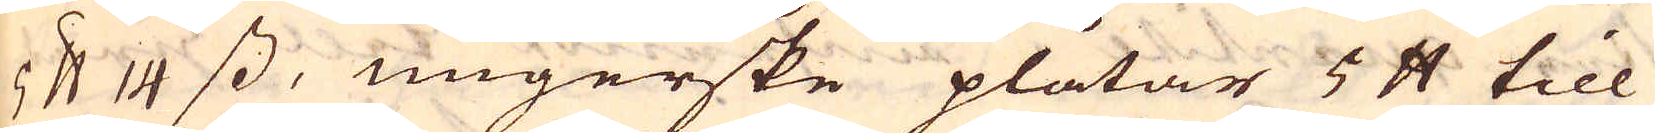5 skålpund 14 ss, ungerske plåtar 5 skålpund till
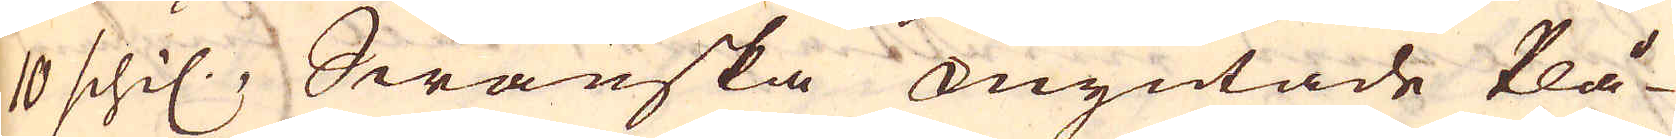10 schil., Swänska myntade Plå-
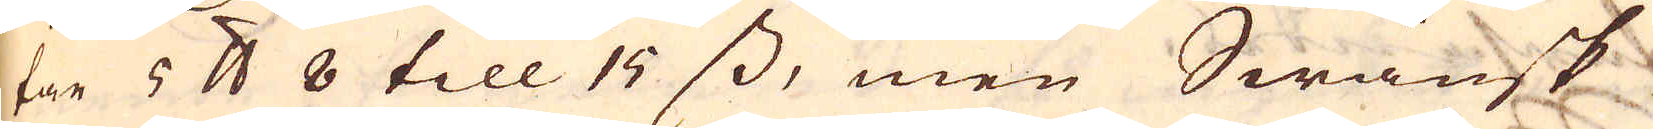tar 5 skålpund 8 till 15 ss, men Swänsk
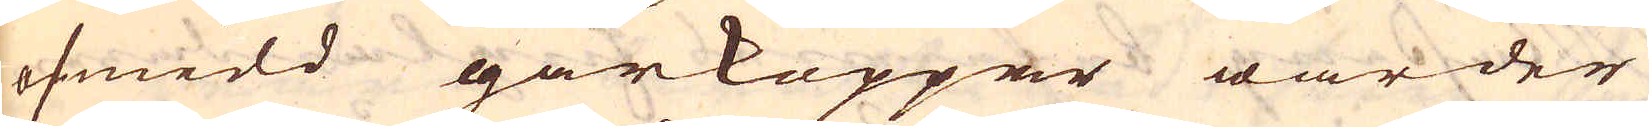osmidd gårkoppar warder
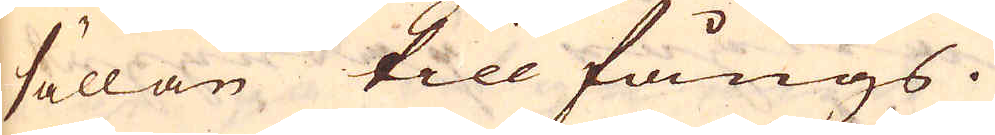sällan till fångs.
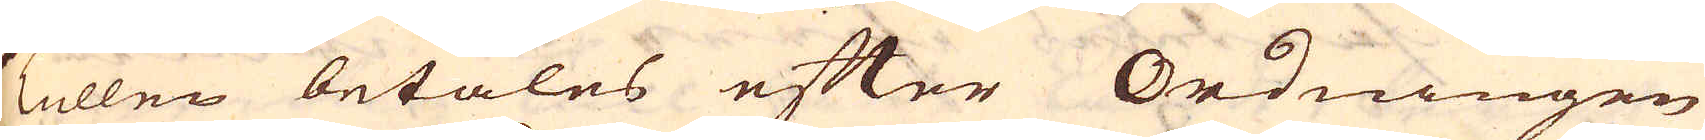Tullen betales efter Ordningen
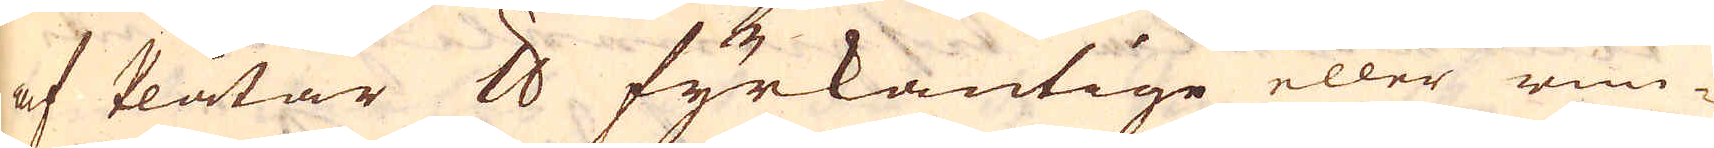af Plåtar skålpund fyrkantige eller run-
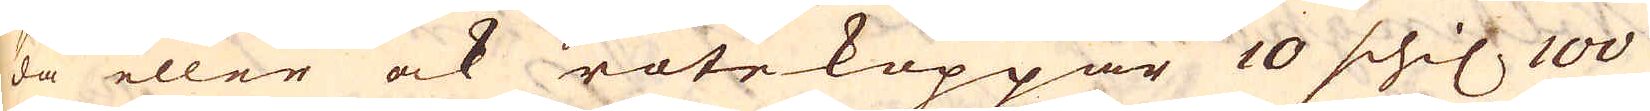da eller ock rotekoppar 10 schil, 100
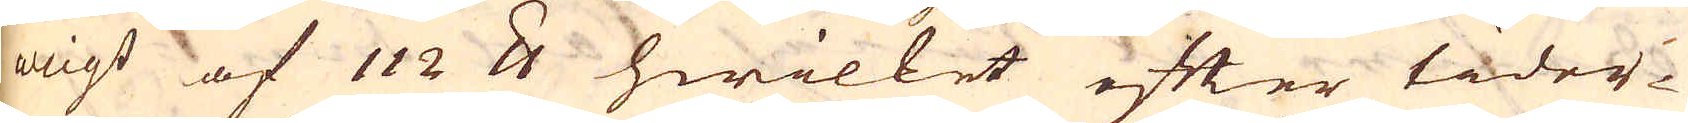wigt af 112 skålpund hwillet efter tider-
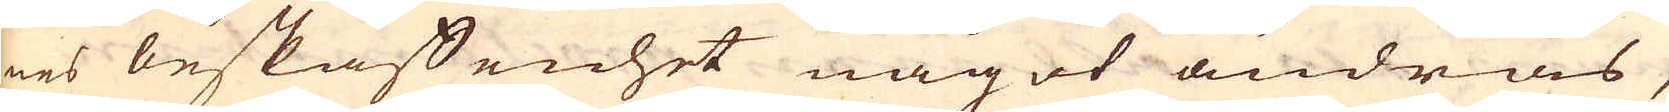nes beskaffenhet något ändras,
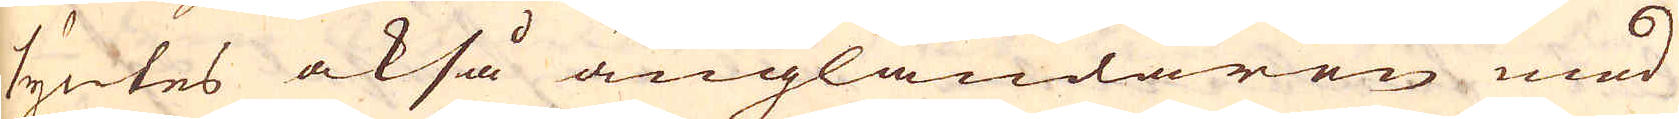syntes också ängländaren med
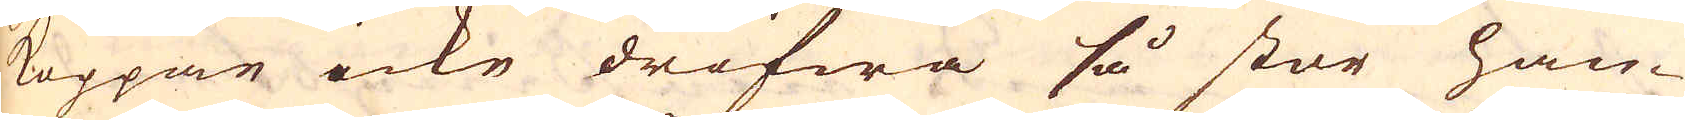koppar icke drifwa så stor han-
